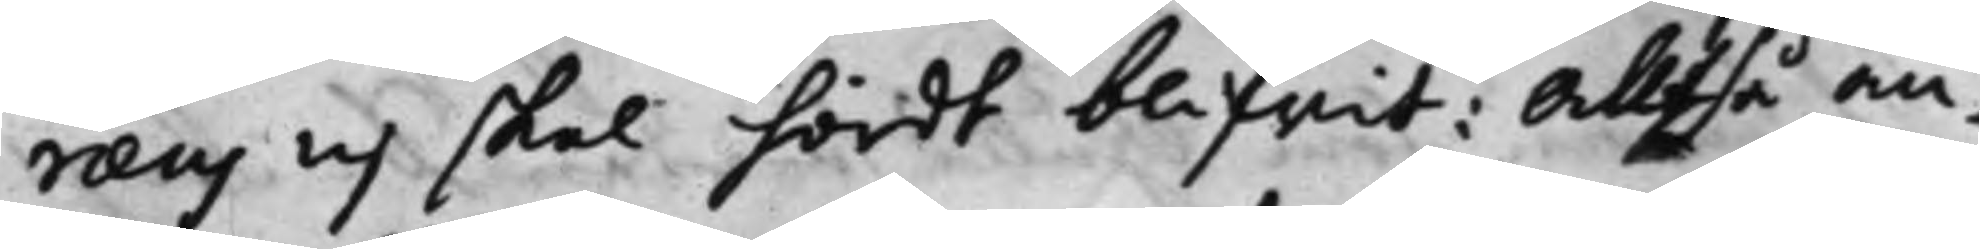raeus ej skal hördt blifwit: Alltså an¬
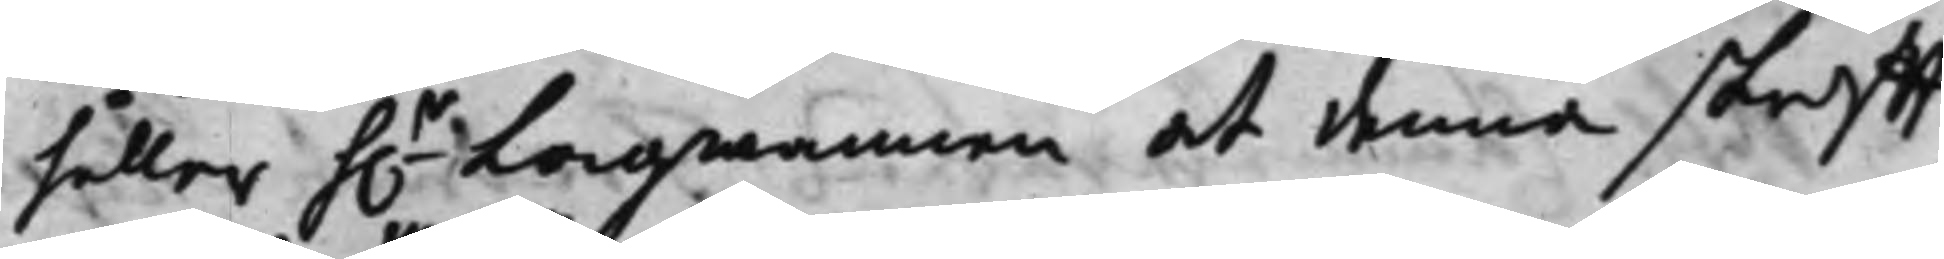håller h.r Lagmannen at denna skrifft
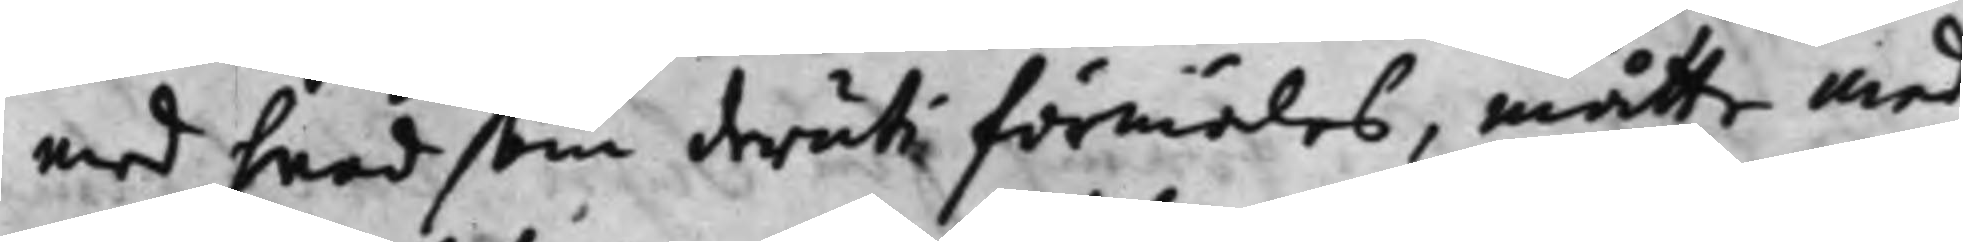med hvad som deruti förmäles, måtte med
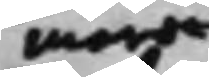mera
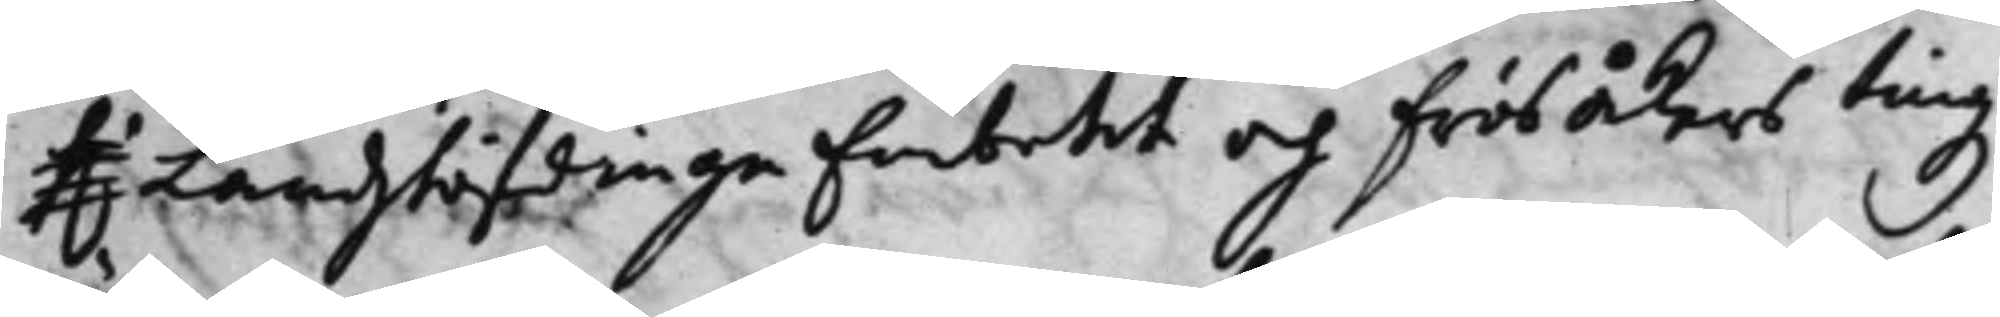h.r Landshöfdinge Embetet och Frösåkers tingz
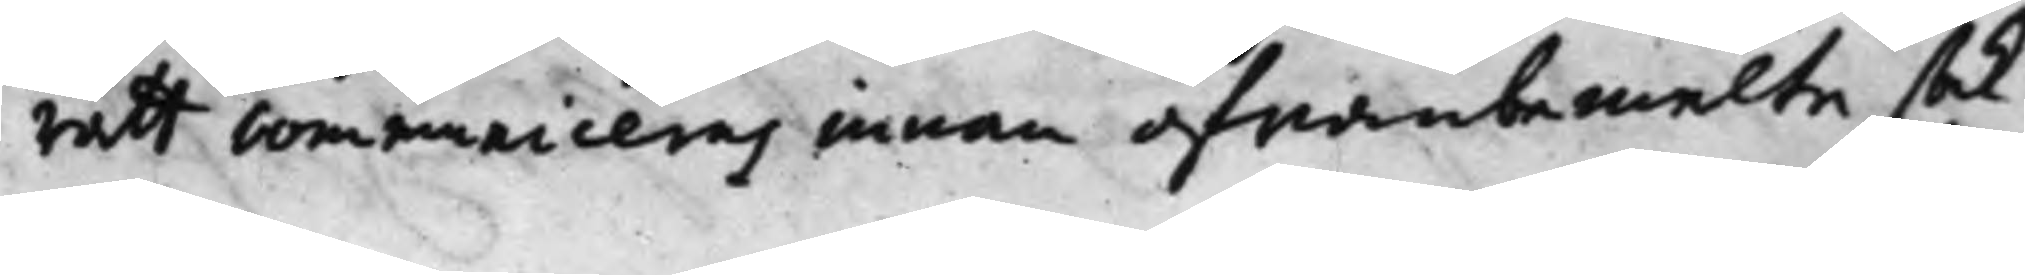rätt communiceras innan ofwanbemelte sak
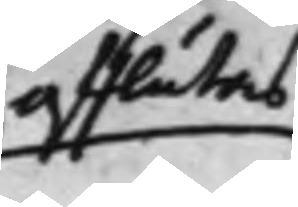afslutas
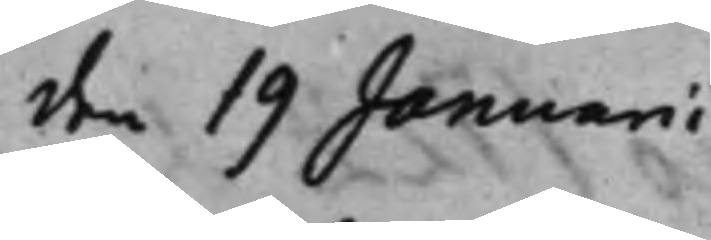den 19 Januarii
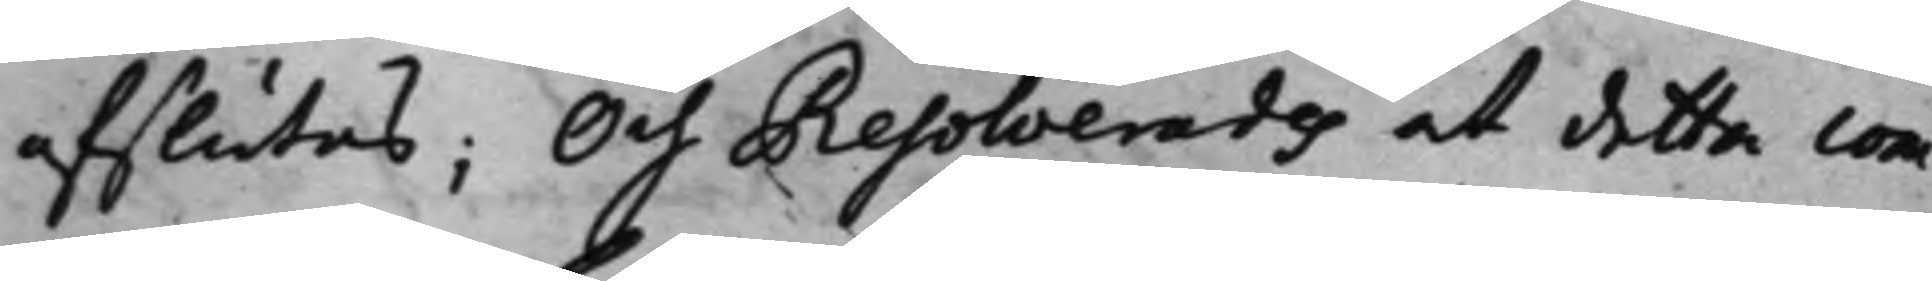afslutas; Och Resolverades at detta com¬
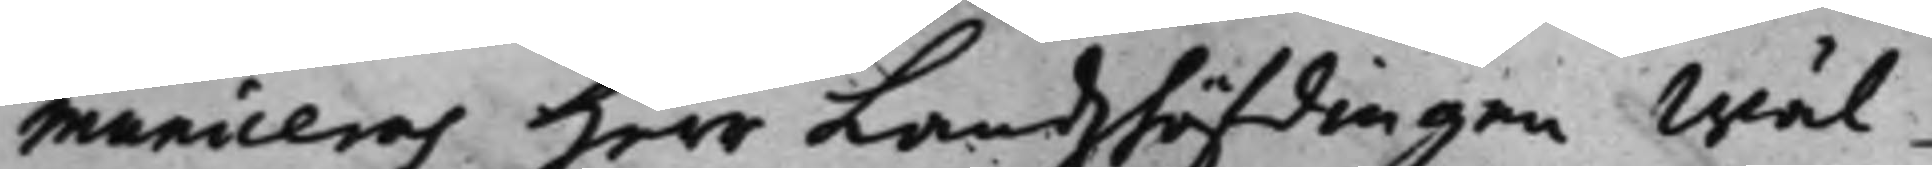municeras Herr Landzhöfdingen Wäl¬
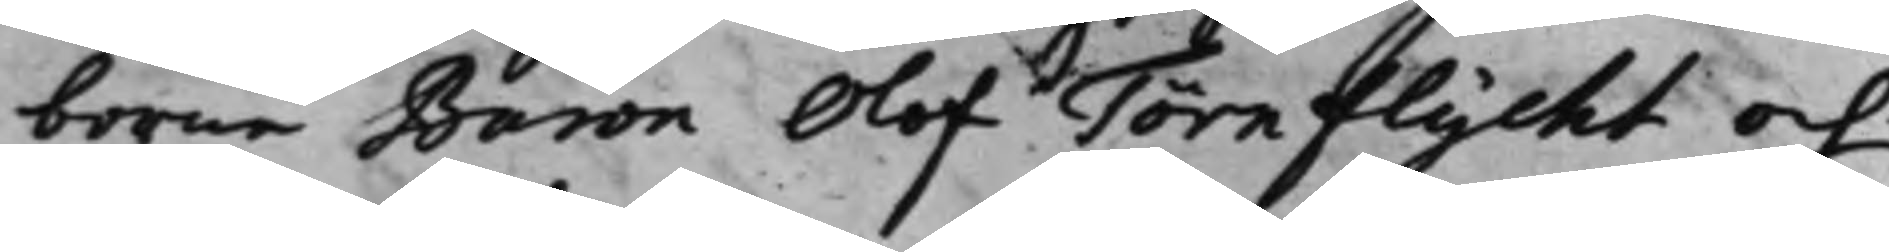borne Baron Olof Törnflycht och
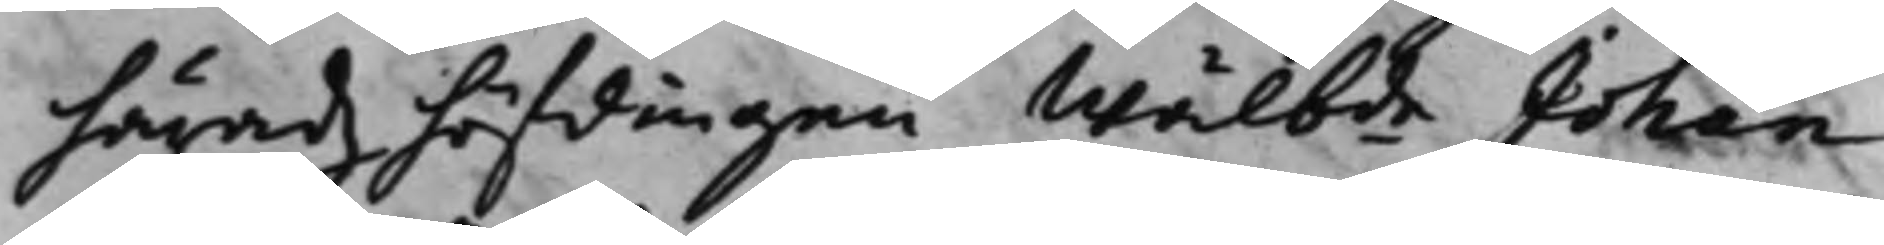häradzhöfdingen Wälb.de Johan 
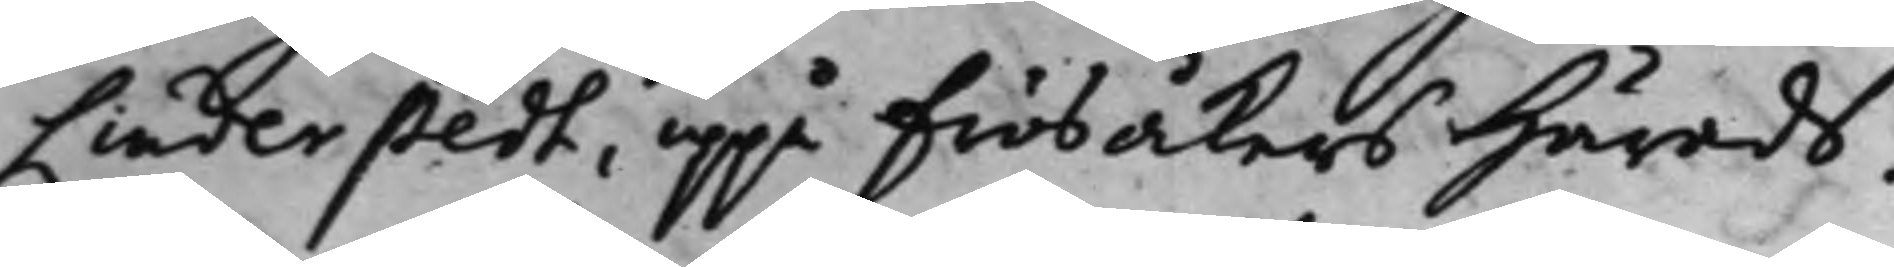Linderstedt, uppå Frösåkers Härads¬
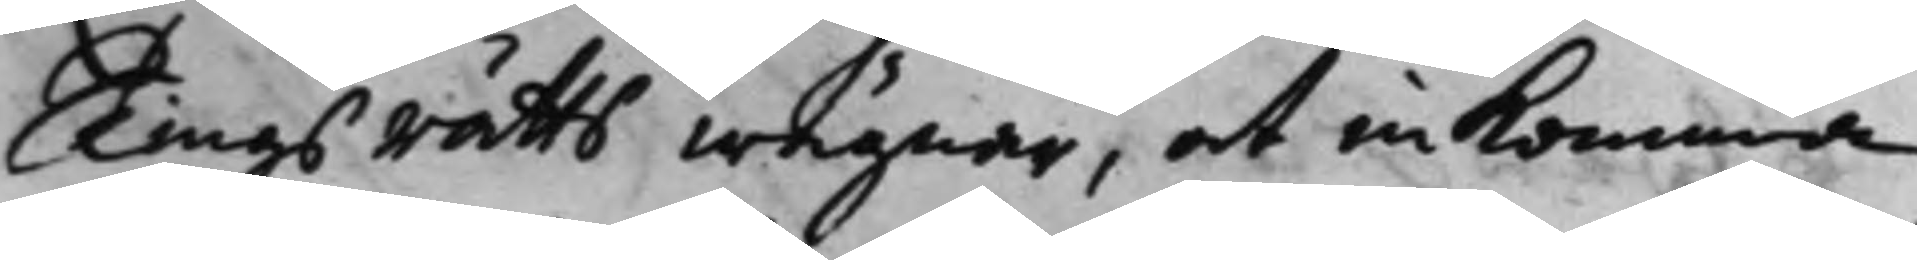Tings rätts wägnar, at inkomma
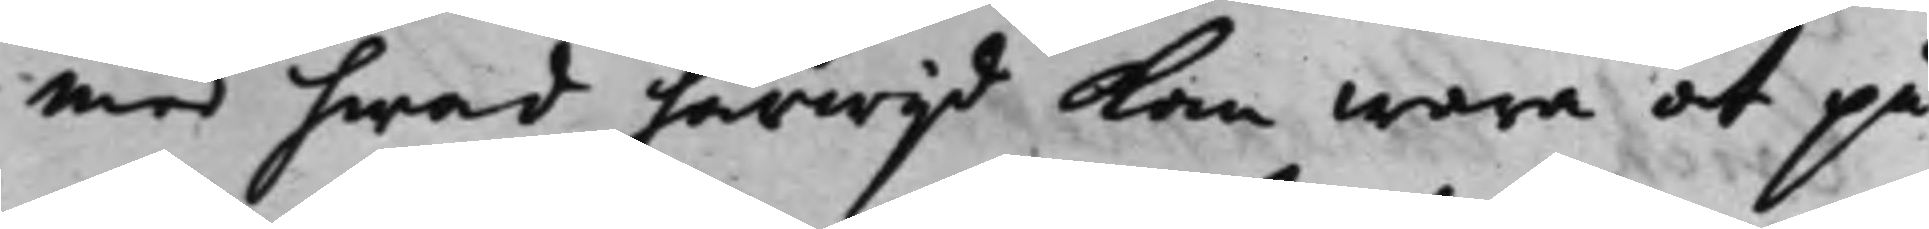med hwad härwijd kan wara at på¬
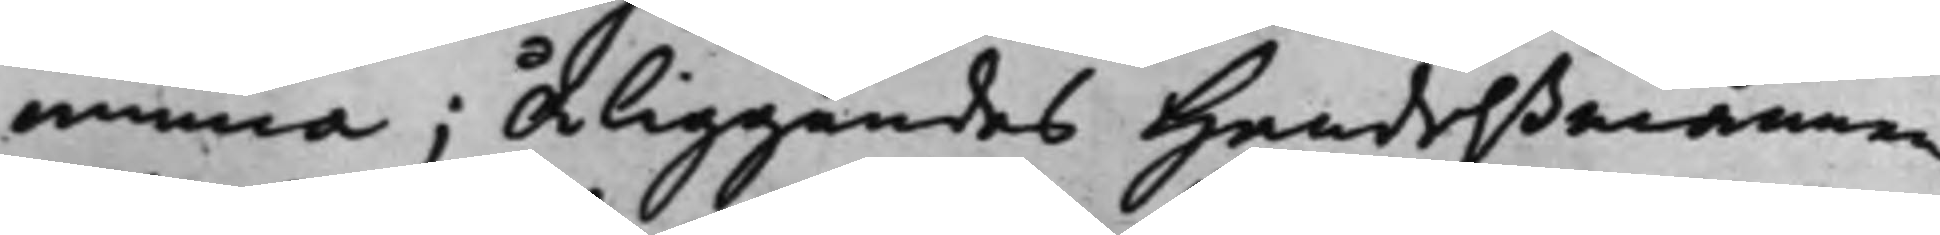minna; Åliggandes Handelßmannen
